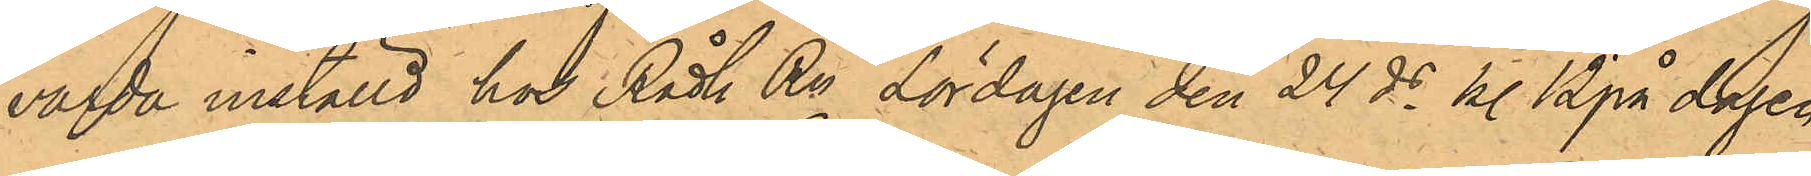varda inställd hos Rådh Rn Lördagen den 24 ds kl 12 på dagen,
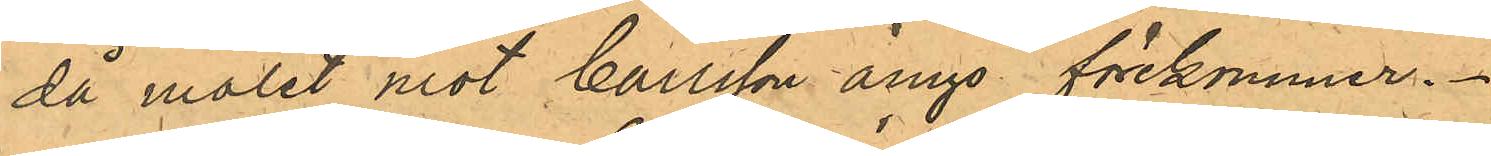då målet mot Carlsson ånyo förekommer.
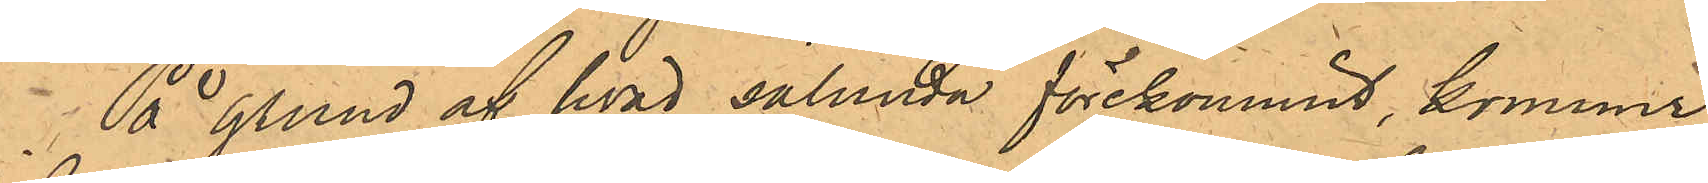På grund af hvad sålunda förekommit, kommer
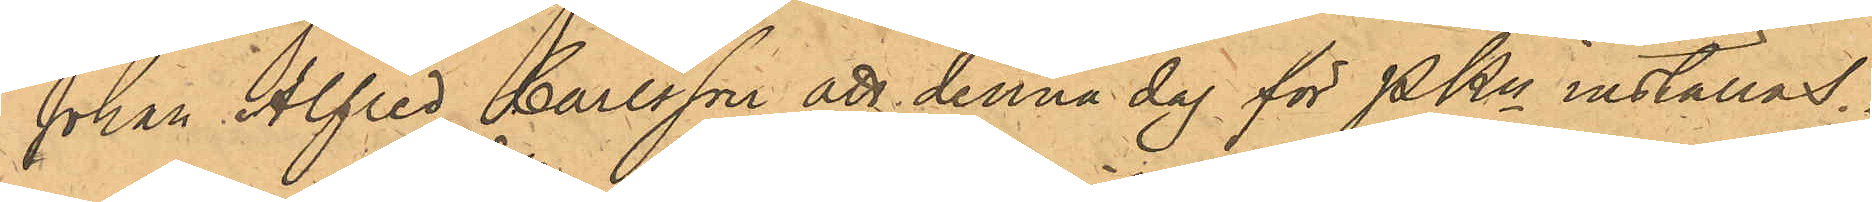Johan Alfred Carlsson att denna dag för PKn inställas.
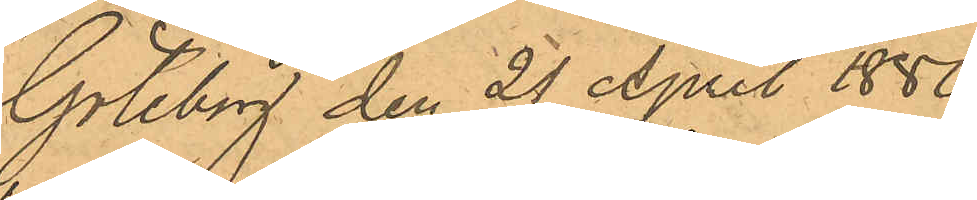Göteborg den 21 April 1880.
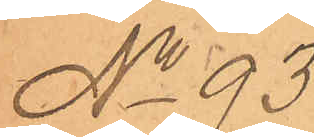No 93.
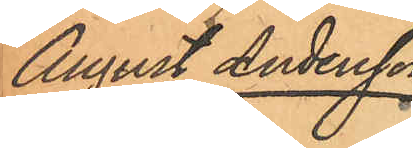August Andersson
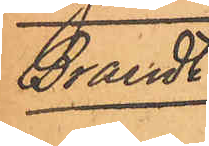Brandt.
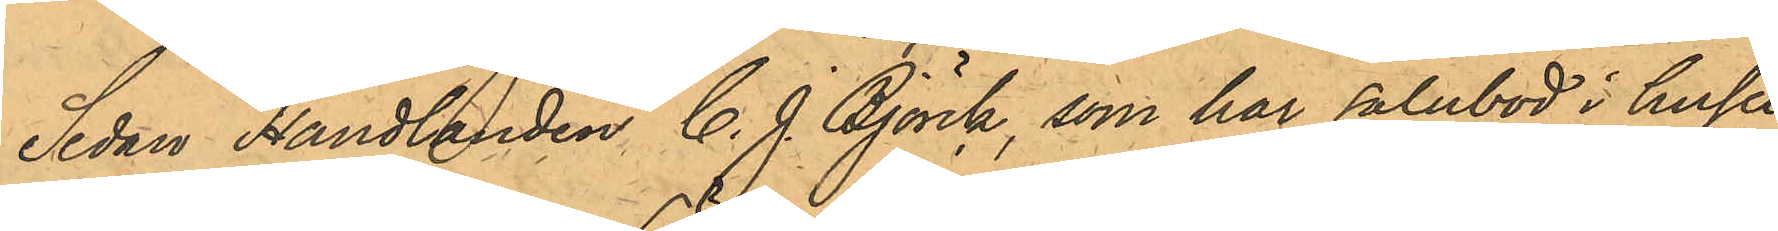Sedan Handlanden C. J. Björck, som har salubod i huset
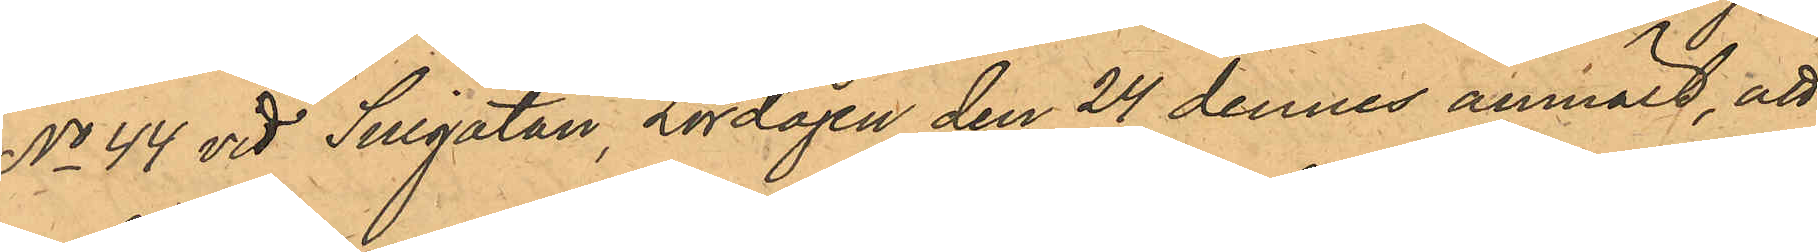No 44 vid Sillgatan Lördagen den 24 dennes anmält, att
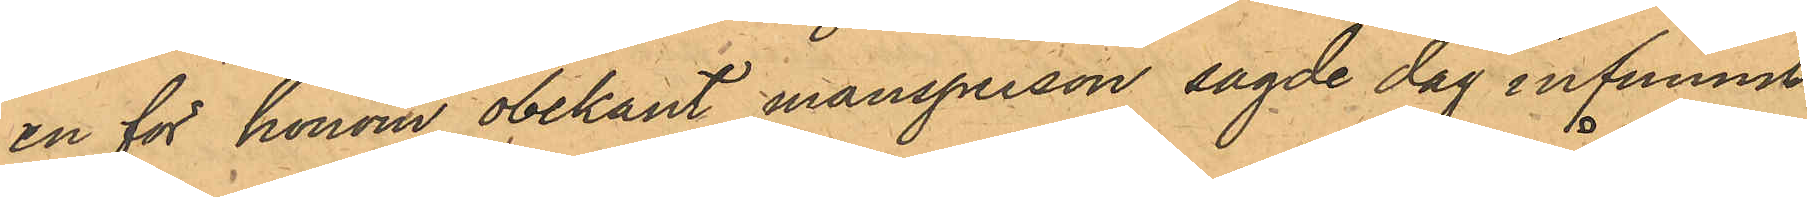en för honom obekant mansperson sagde dag infunnit
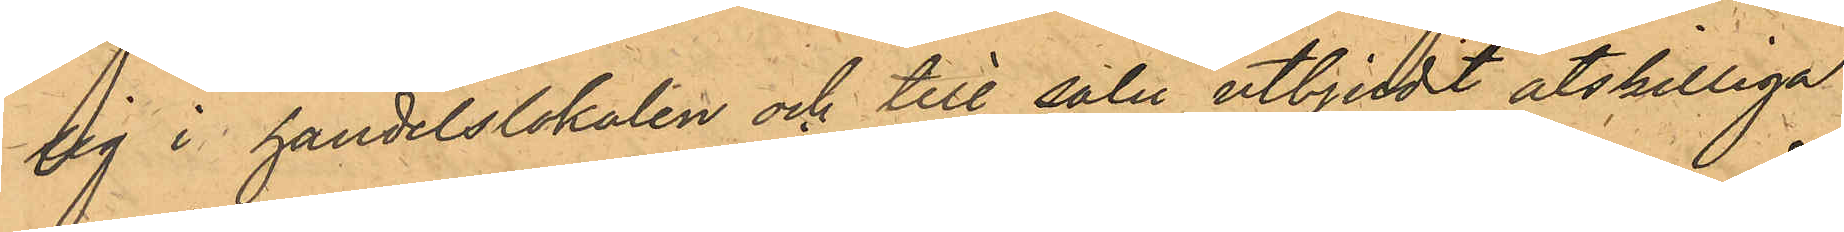sig i handelslokalen och till salu utbjudt åtskilliga
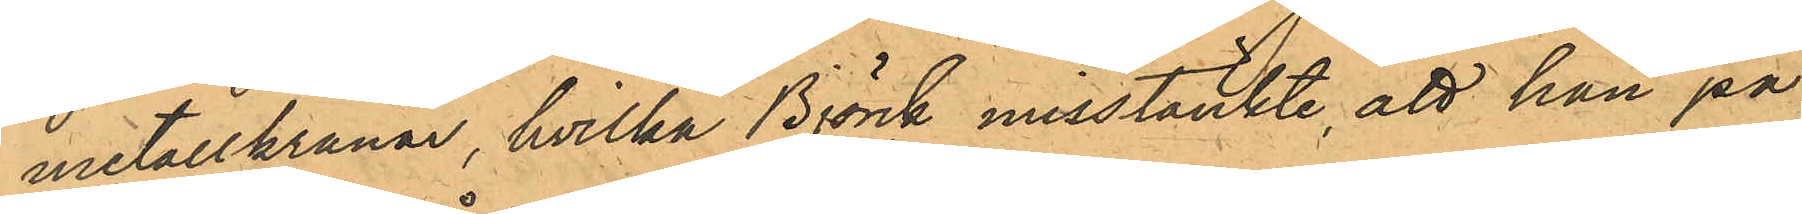metallkranar, hvilka Björck misstänkte, att han på
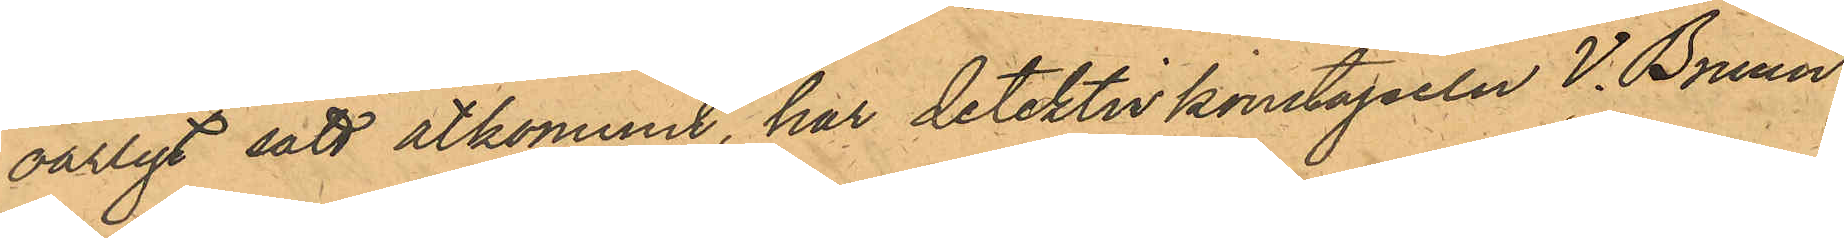oärligt sätt åtkommit, har detektivkonstapeln V. Bruun
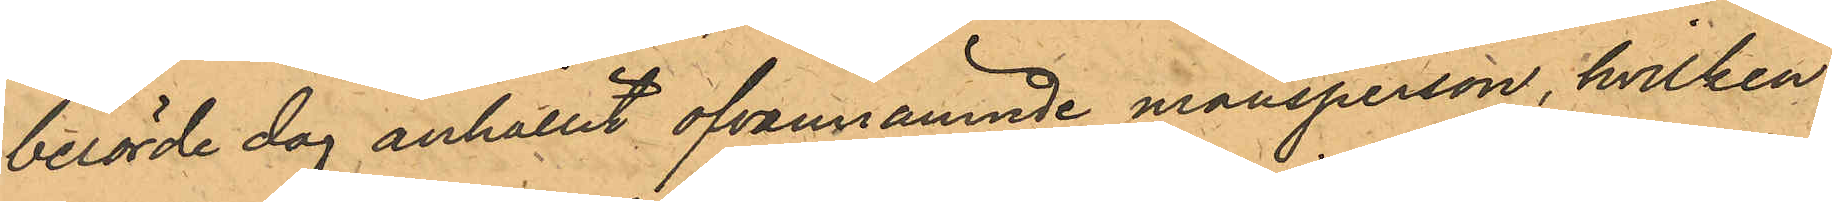berörde dag anhållit ofvannämnde mansperson, hvilken
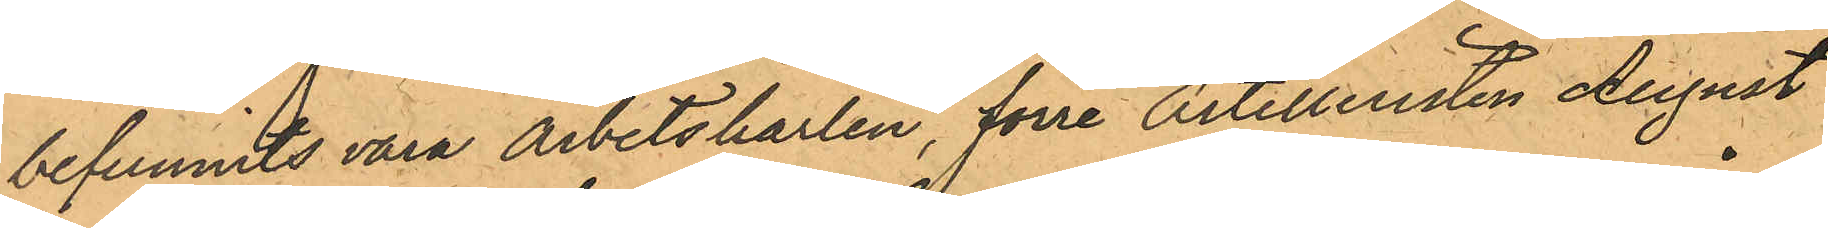befunnits vara arbetskarlen, förre Artilleristen August
